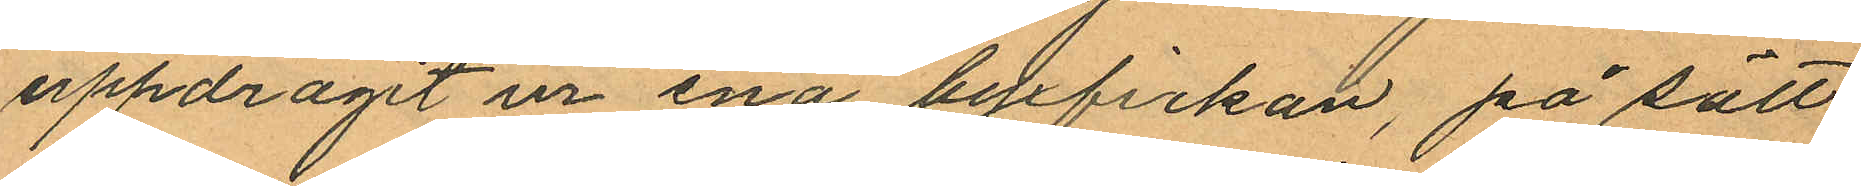uppdragit ur ena byxfickan, på sätt
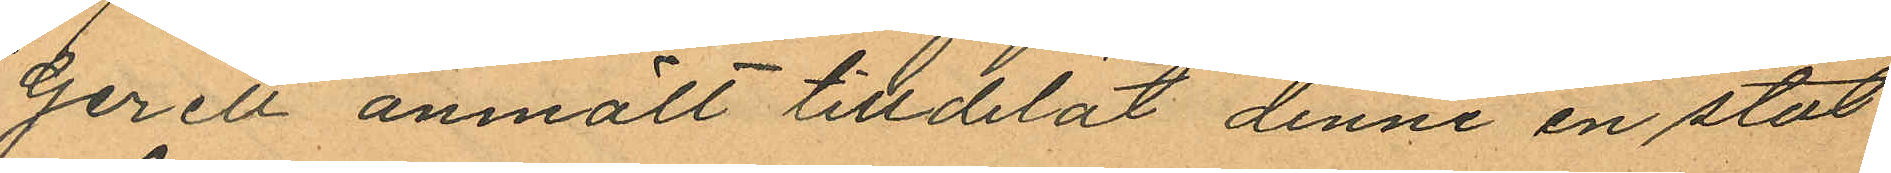Gerell anmält tilldelat denne en stöt
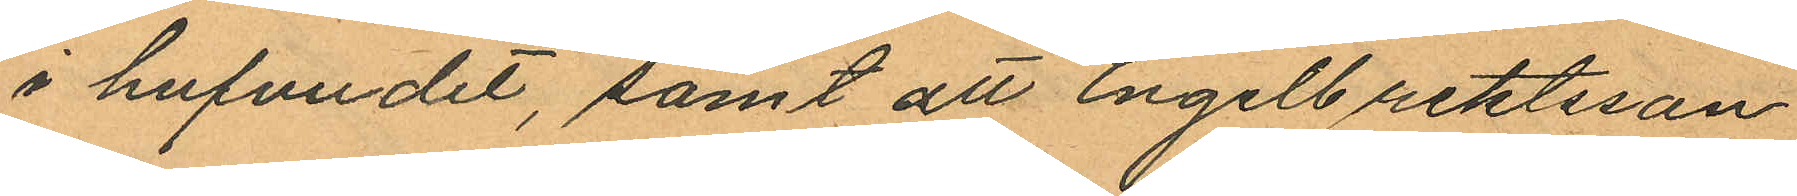i hufvudet, samt att Engelbrektsson
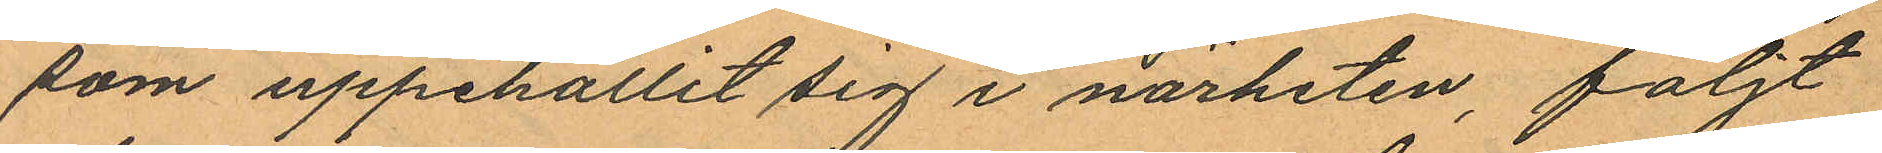som uppehållit sig i närheten, följt
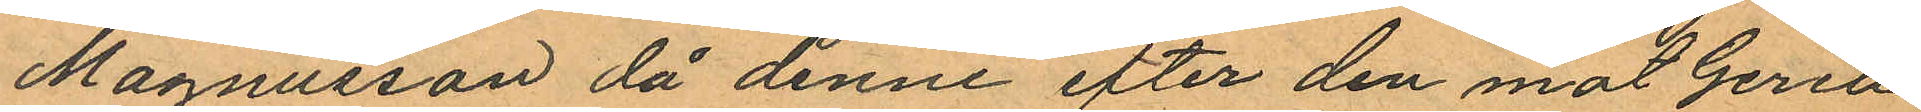Magnusson då denne efter den mot Gerell
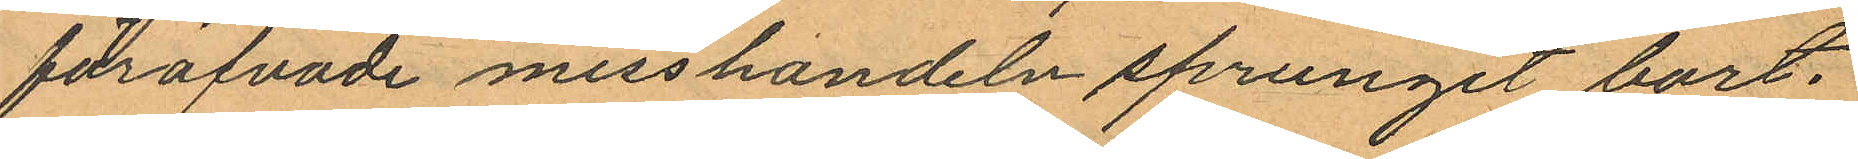föröfvade misshandeln sprungit bort.
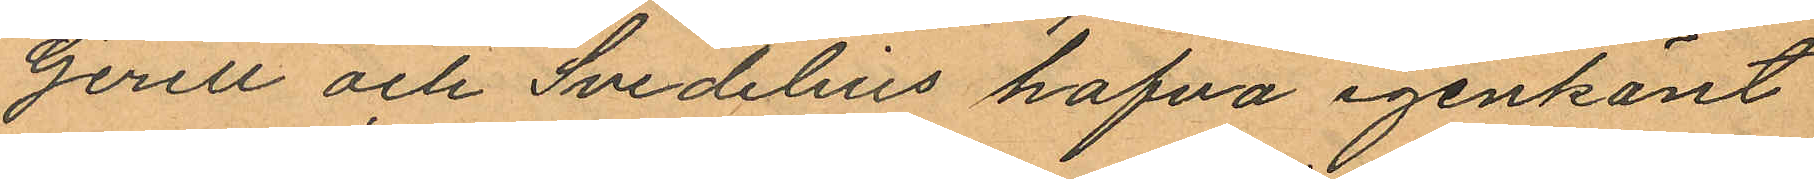Gerell och Svedelius hafva igenkänt
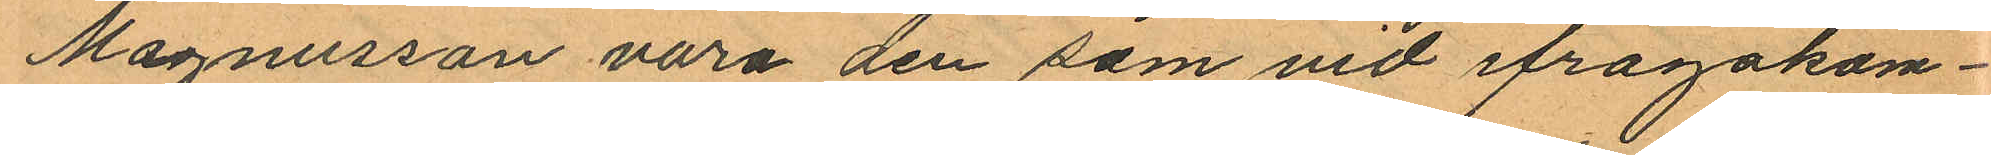Magnusson vara den som vid ifrågakom¬
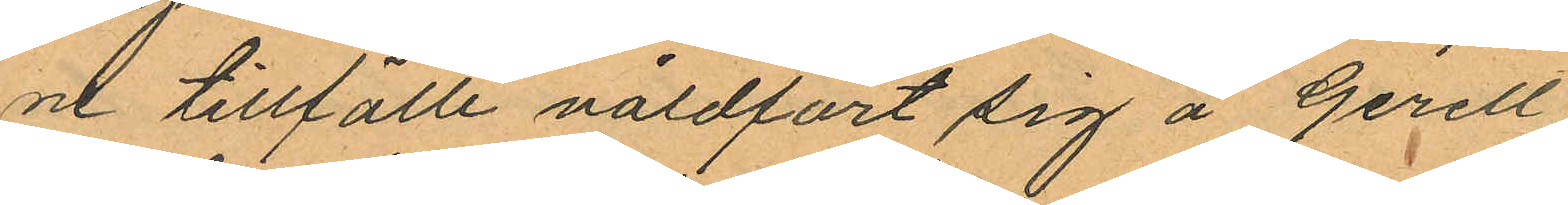ne tillfälle våldfört sig å Gerell
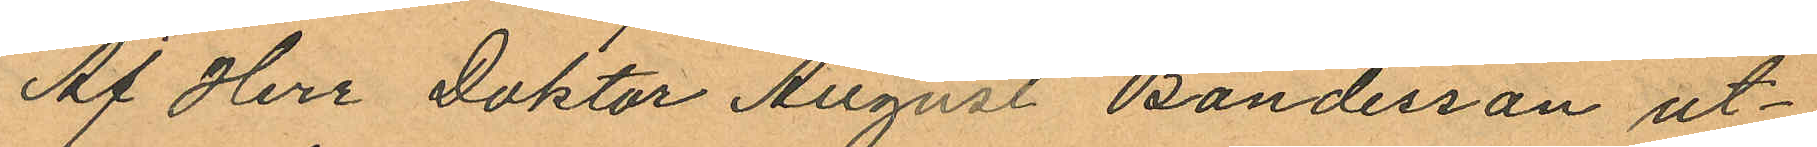Af Herr Doktor August Bondesson ut¬
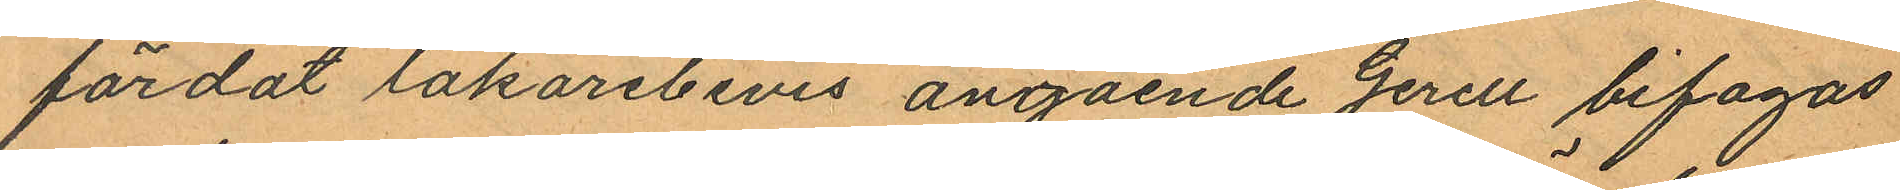färdat läkarebevis angående Gerell bifogas
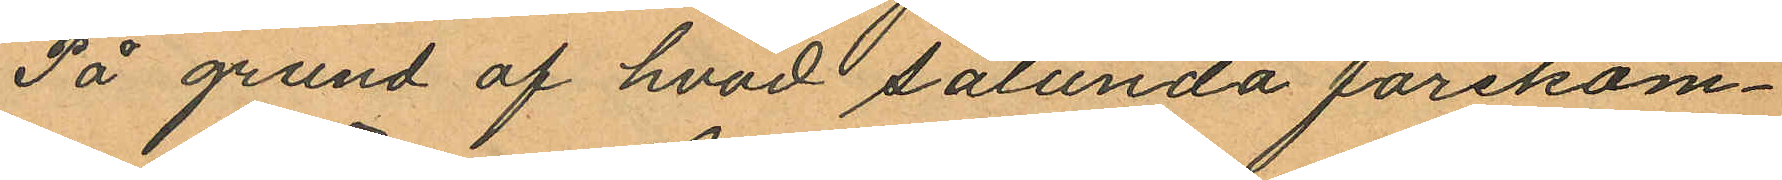På grund af hvad sålunda förekom¬
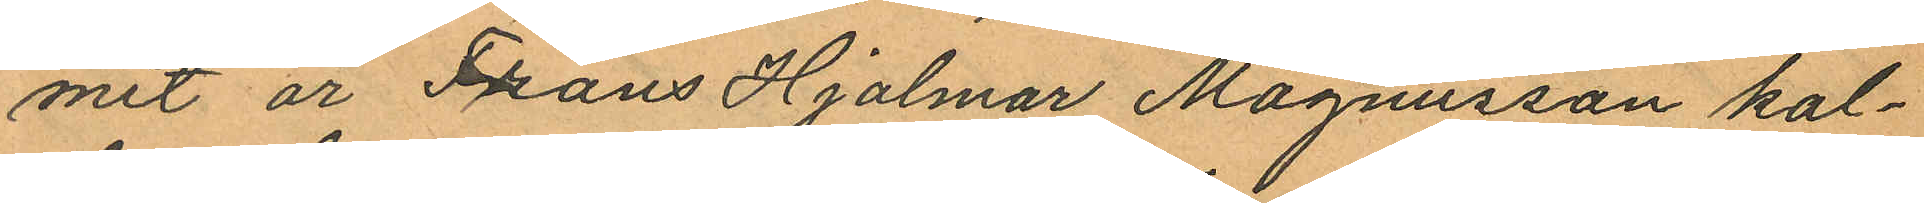mit är Frans Hjalmar Magnusson kal¬
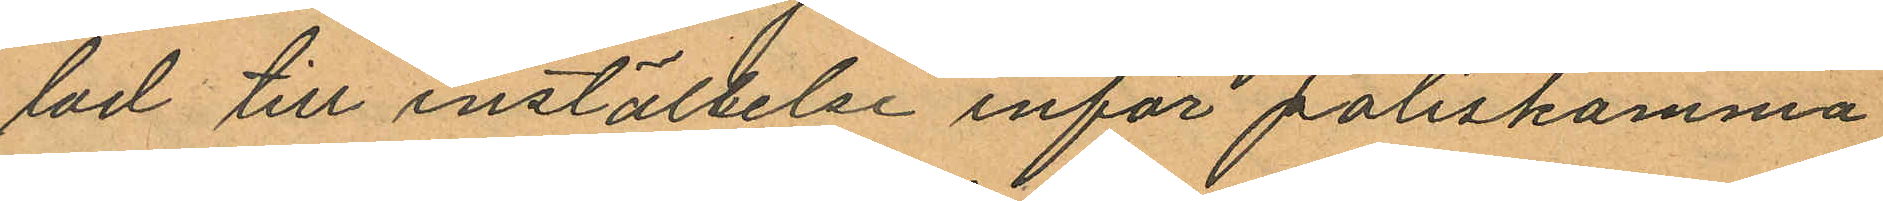lad till inställelse inför poliskamma
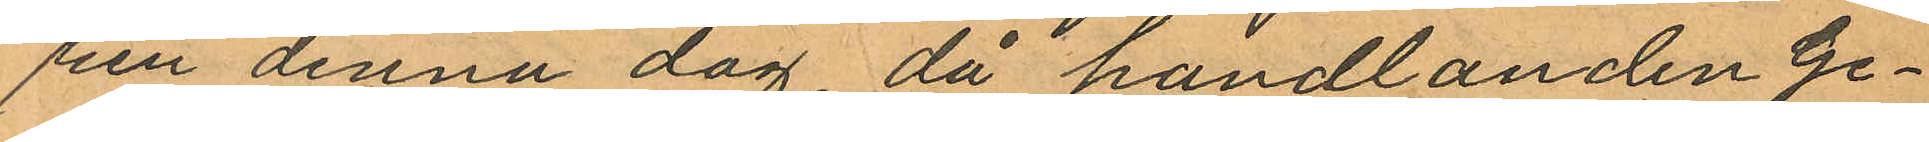ren denna dag då handlanden Ge¬
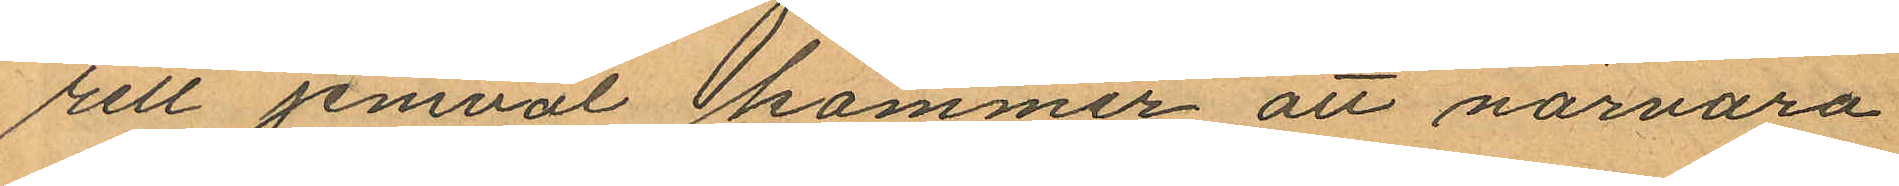rett jemväl kommer att närvara
